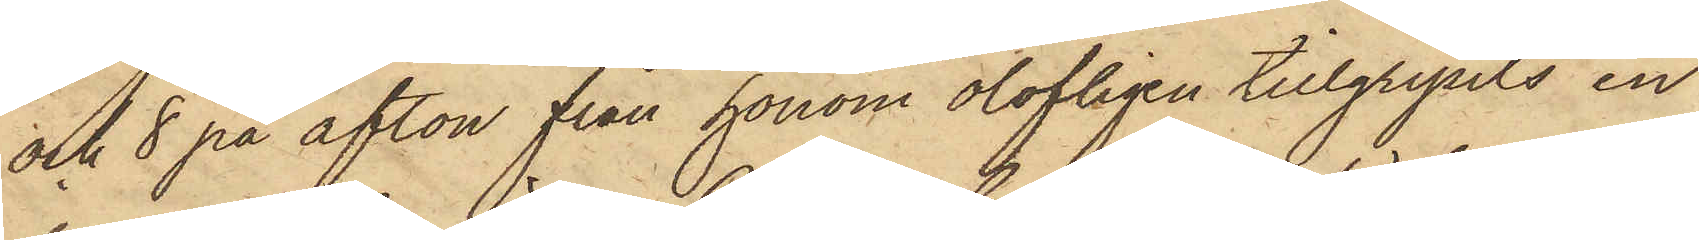och 8 på afton från honom olofligen tillgripits en
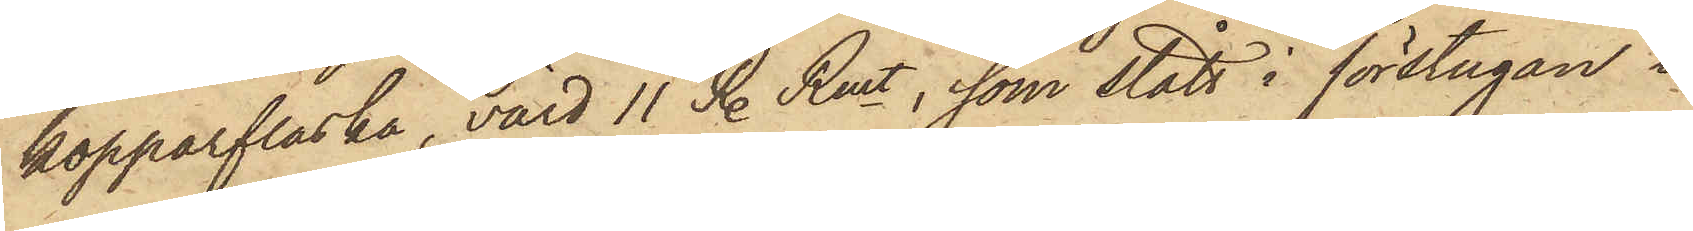kopparflaska, värd 11 R. Rmt, som stått i förstugan i
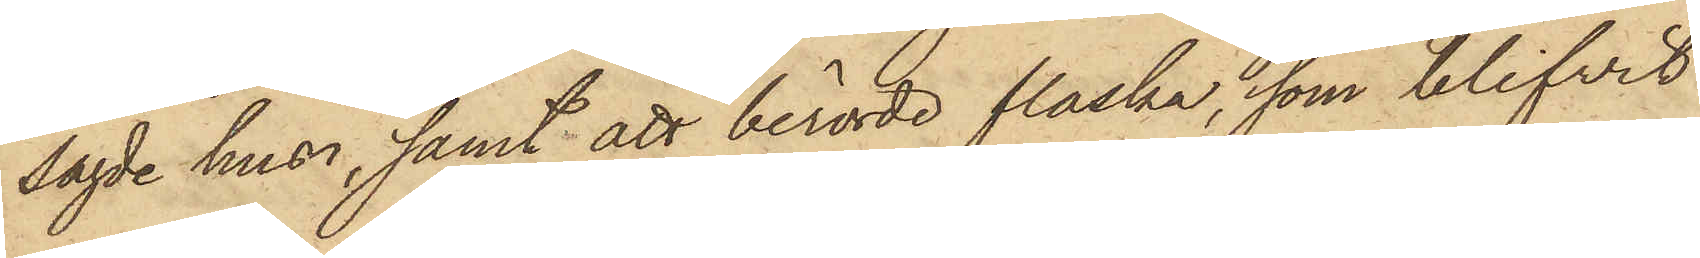Sagde hus; samt att berörde flaska, som blifvit
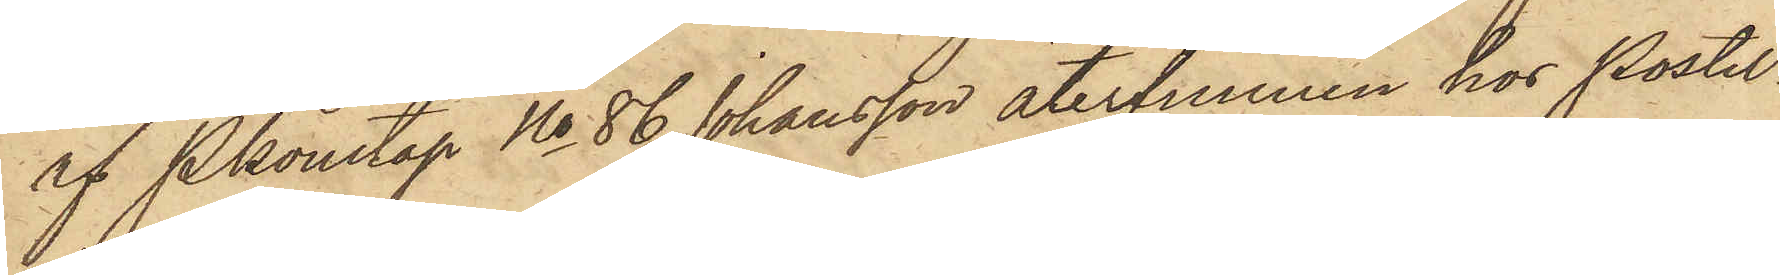af Pkonstap No 86 Johansson återfunnen hos Postil¬
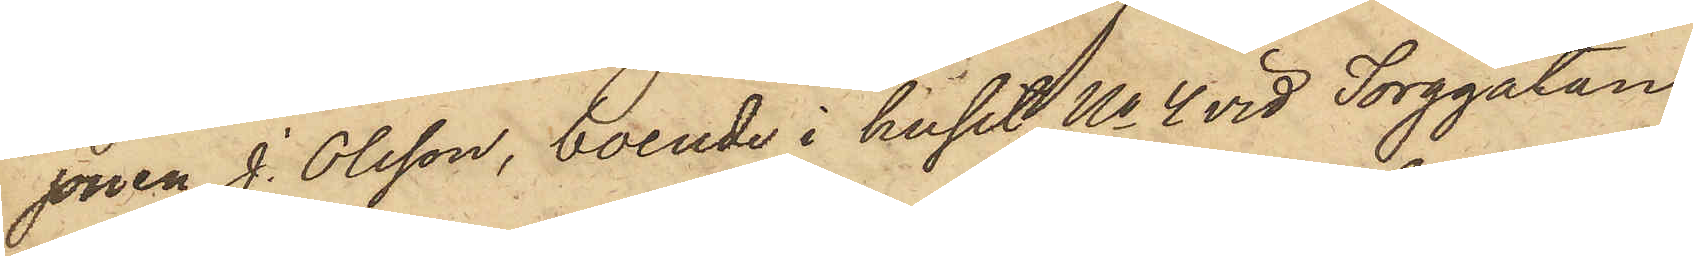jonen J. Olsson, boende i huset No 4 vid Torggatan,
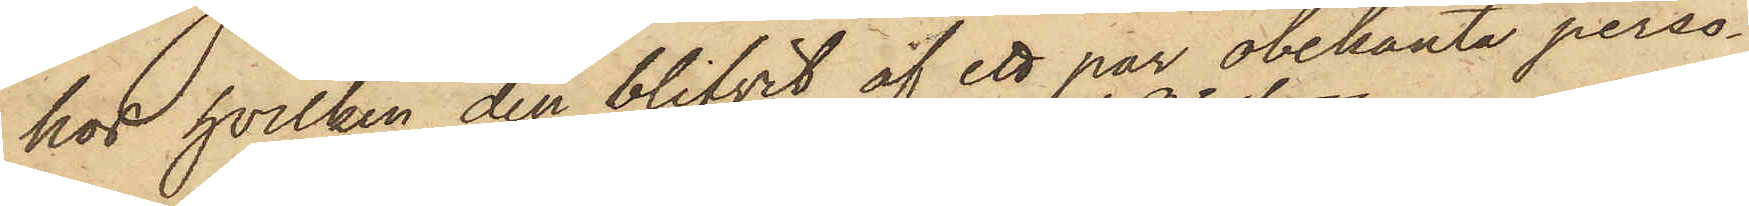hos hvilken den blifvit af ett par obekanta perso¬
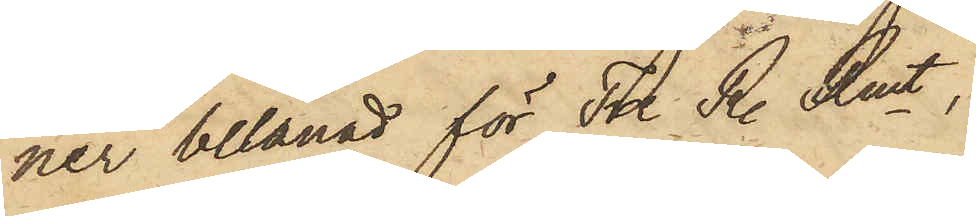ner belånad för Tre R. Rmt,
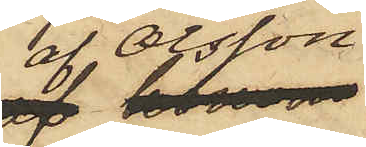af Olsson
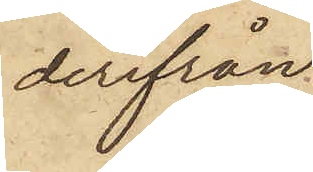derifrån
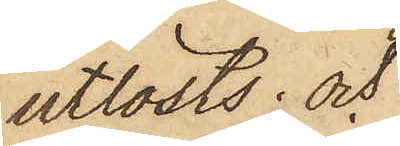utlösts; och
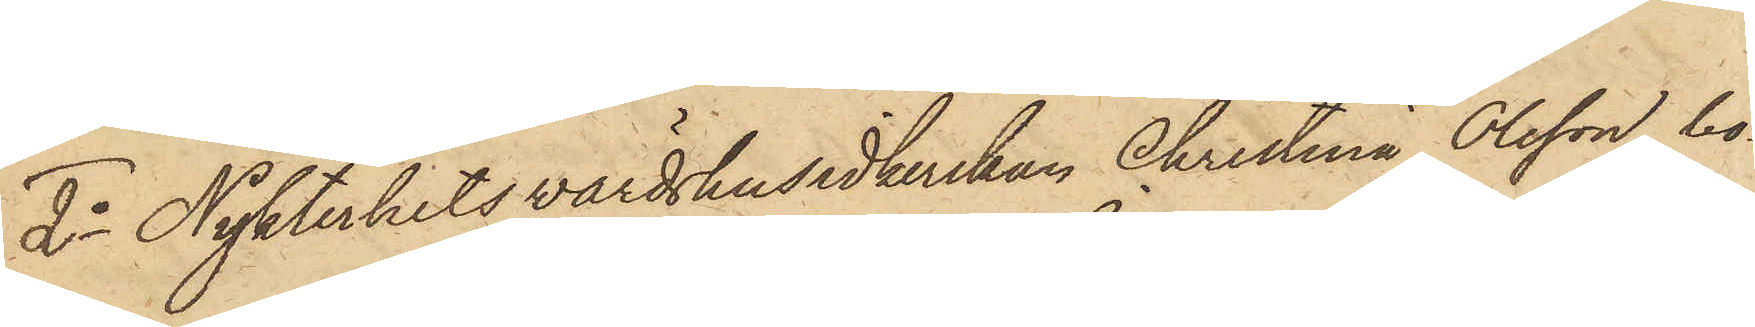2o Nykterhetsvärdshusidkerskan Christina Olsson, bo¬
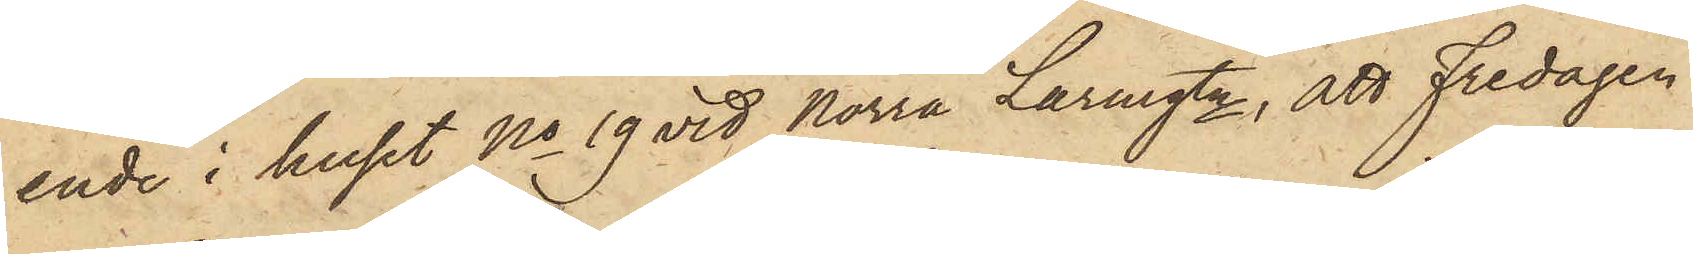ende i huset No 19 vid Norra Larmgtn, att Fredagen
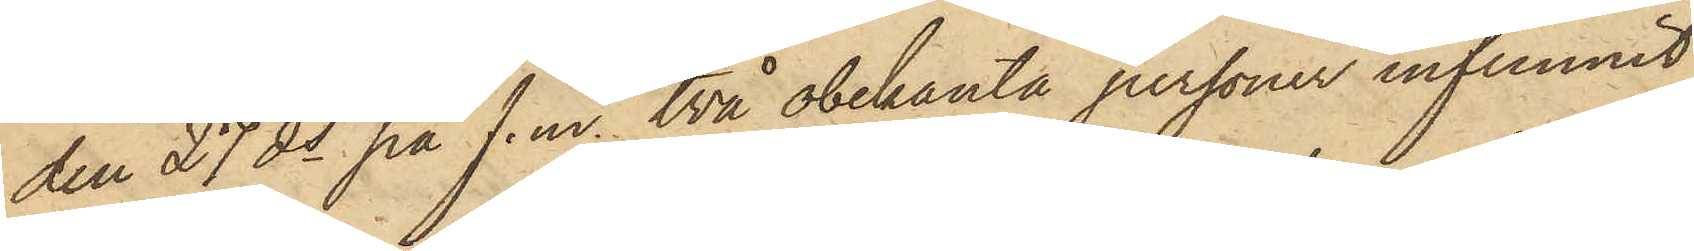den 27 ds på f. m. två obekanta personer infunnit
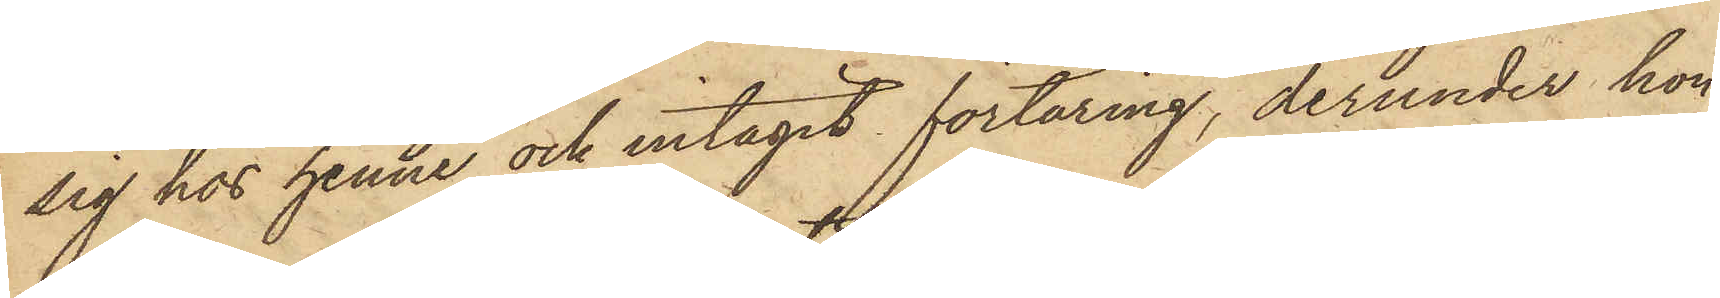sig hos henne och intagit förtäring, derunder hon
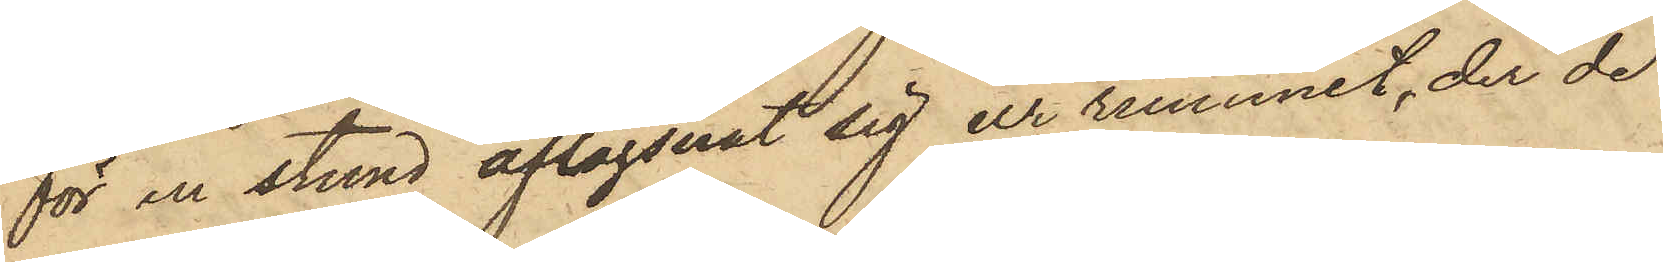för en stund aflägsnat sig ur rummet, der de
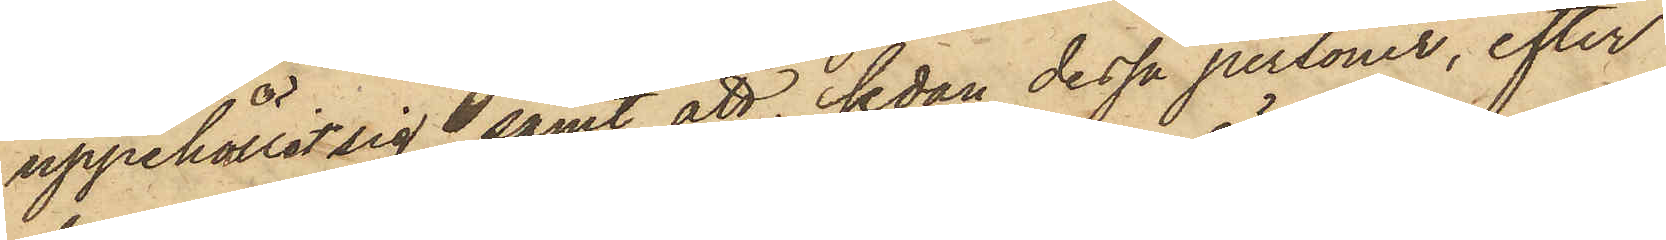uppehållit sig samt att, sedan dessa personer, efter
